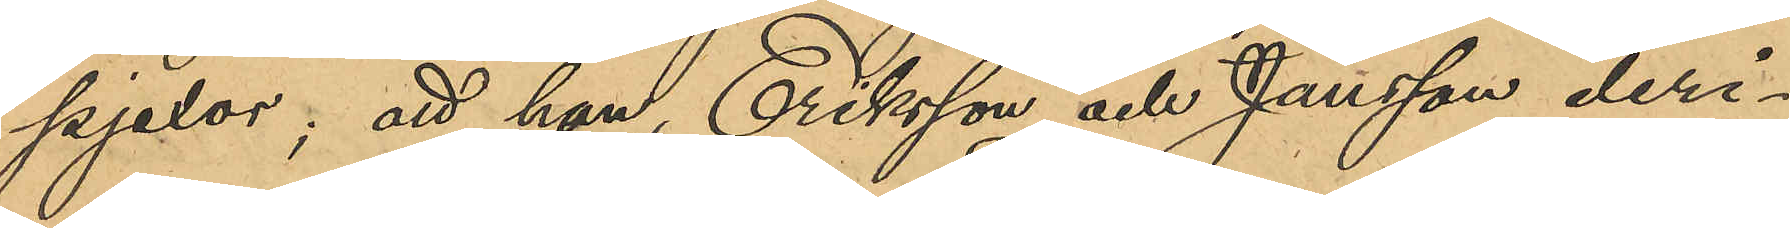pjexor; att han, Eriksson och Jansson deri¬
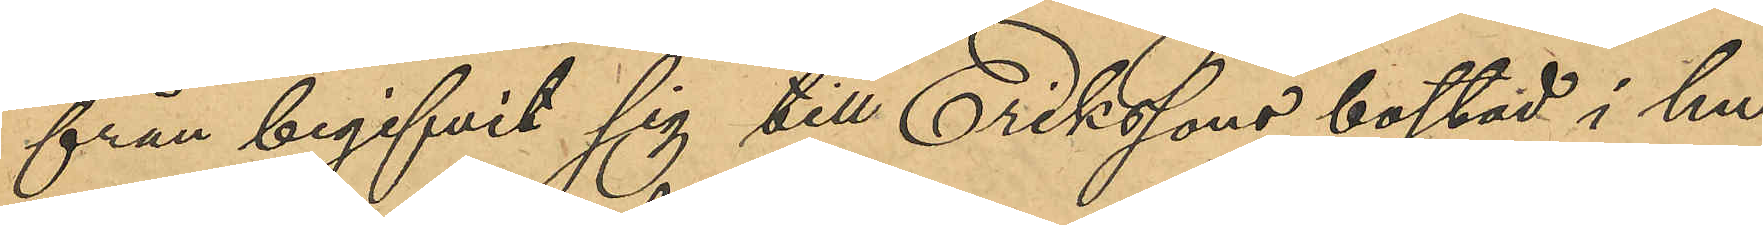från begifvit sig till Erikssons bostad i hu¬
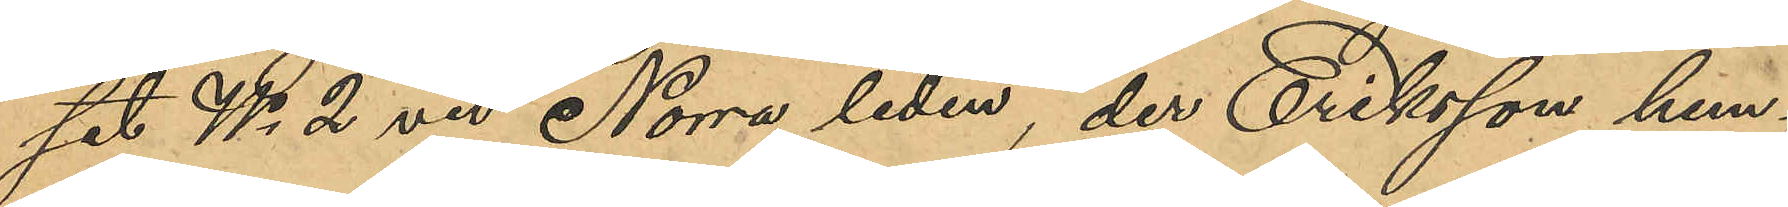set No 2 vid Norra liden der Eriksson hem¬
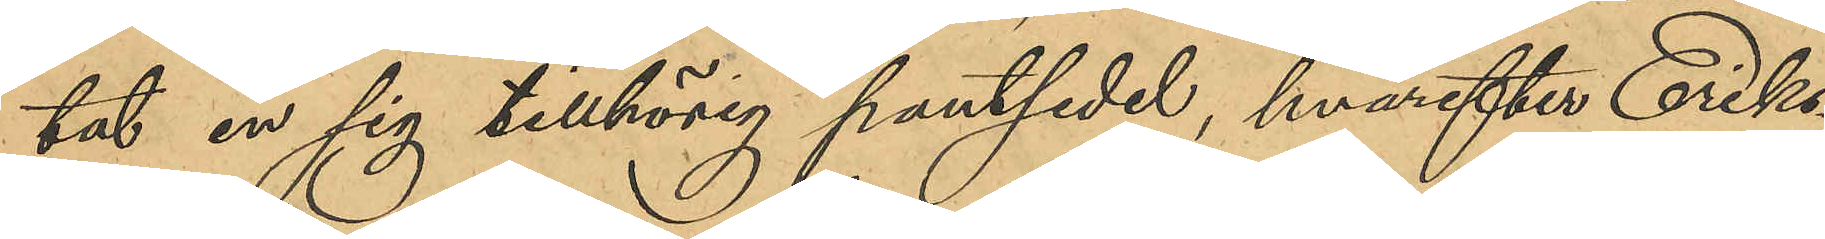tat en sig tillhörig pantsedel hvarefter Eriks¬
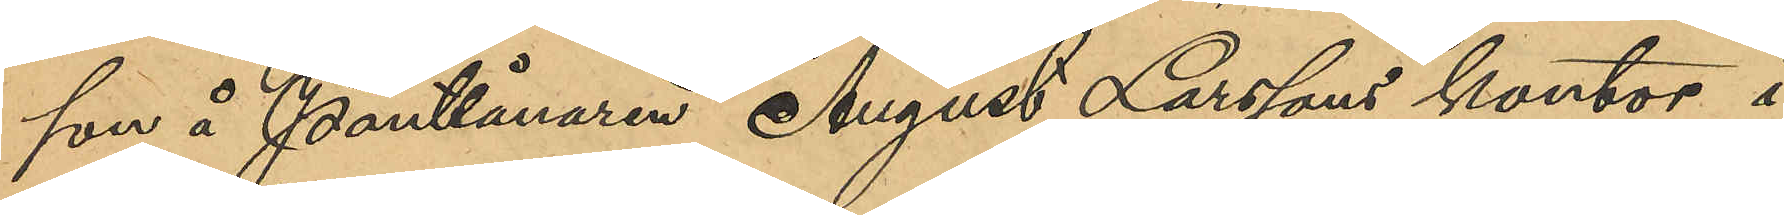son å Pantlånaren August Larssons kontor i
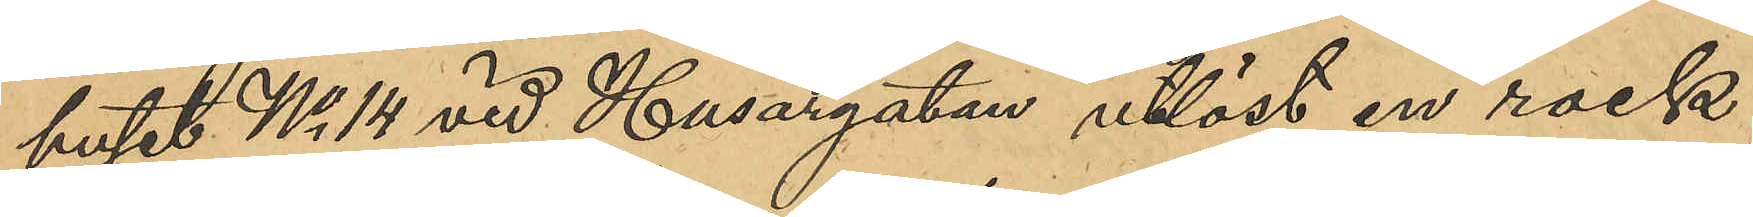huset No 14 vid Husargatan utlöst en rock;
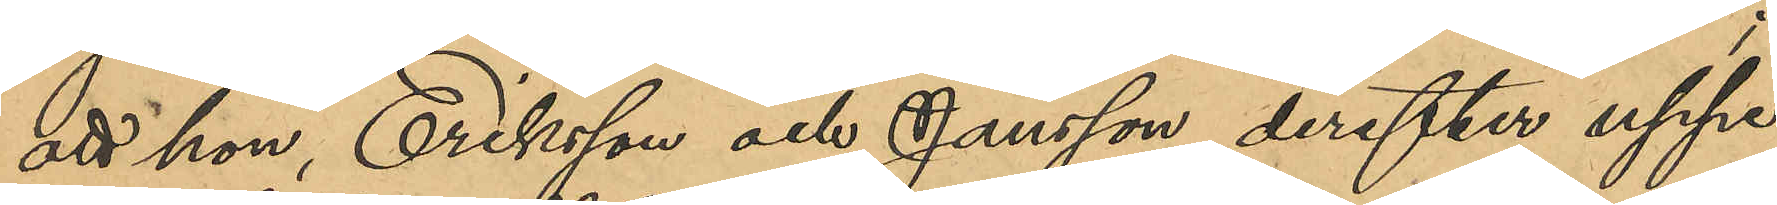att hon, Eriksson och Hansson derefter uppe¬
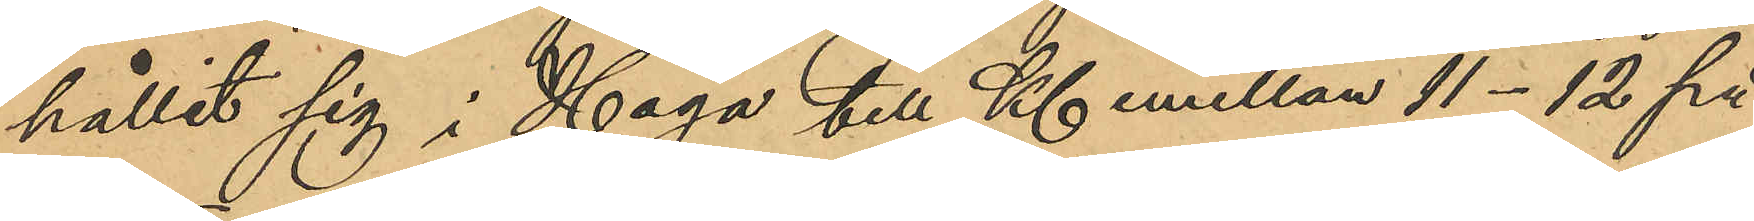hållit sig i Haga till Kl emellan 11-12 på
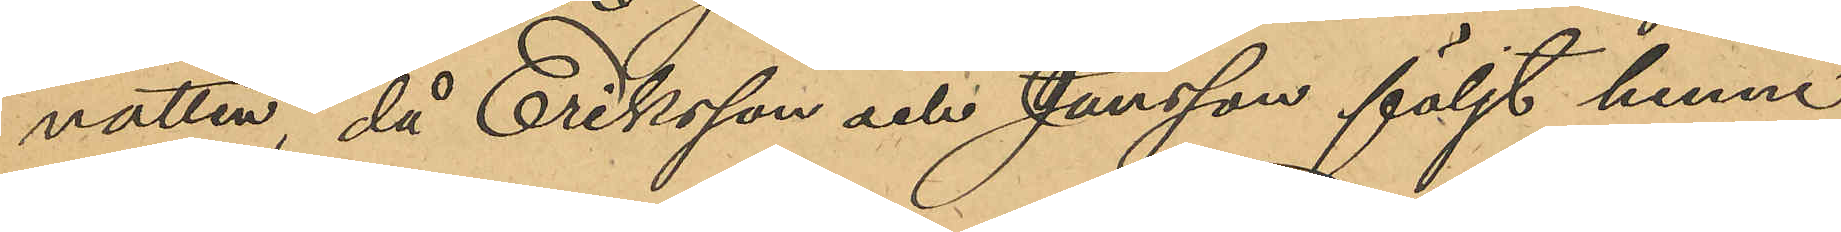natten då Eriksson och Jansson följt henne
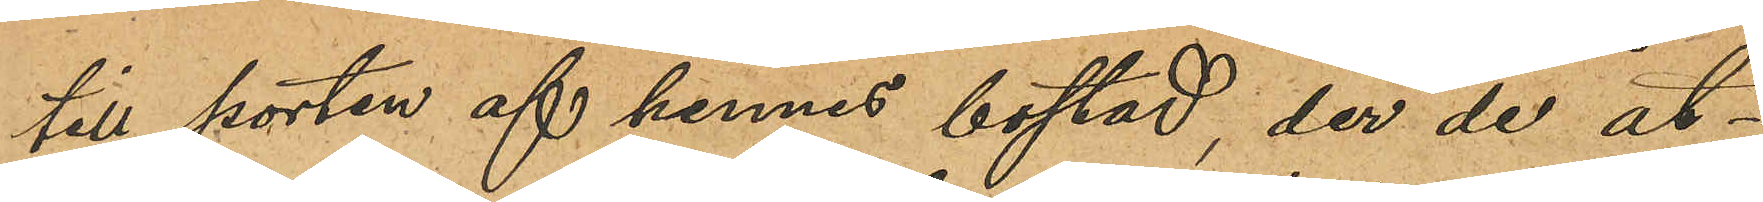till porten af hennes bostad, der de åt¬
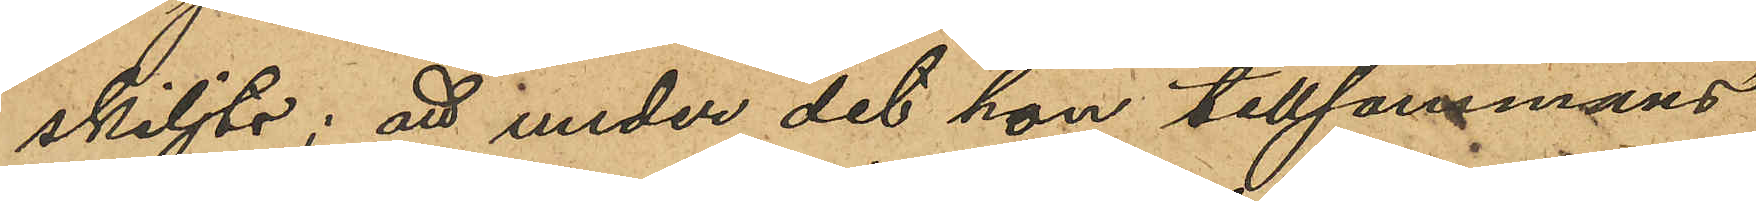skiljts, att under det hon tillsammans
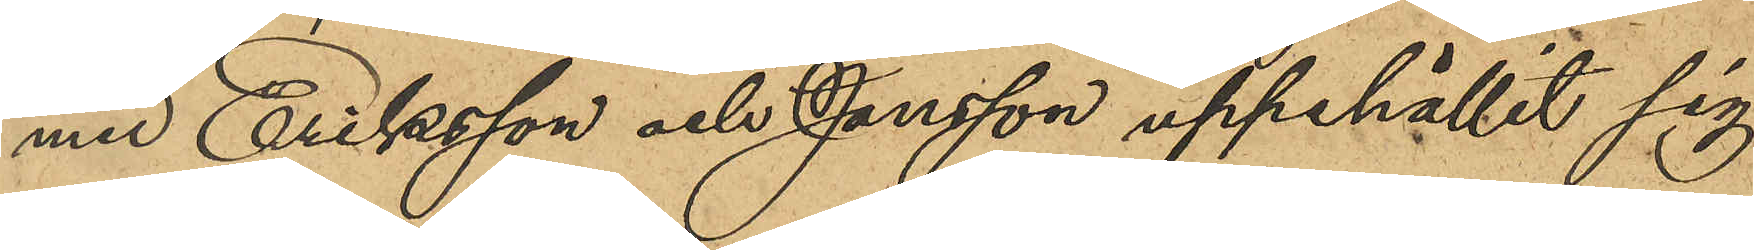med Eriksson och Jansson uppehållit sig
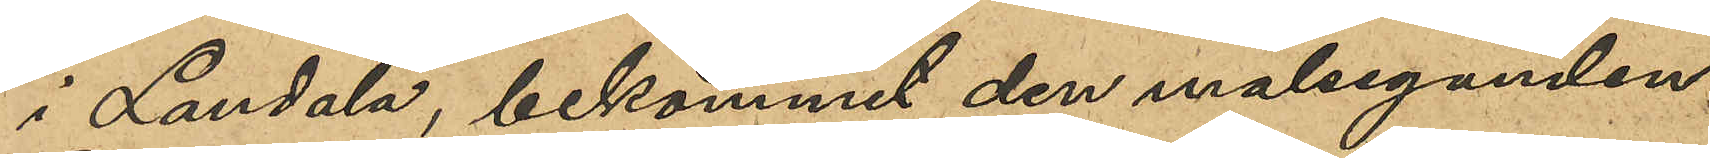i Landala, bekommit den målseganden
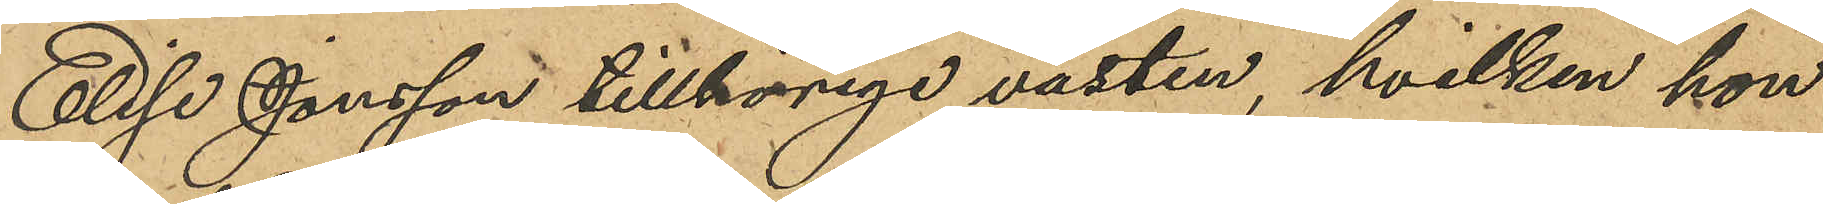Elise Jonsson tillhörige västen, hvilken hon
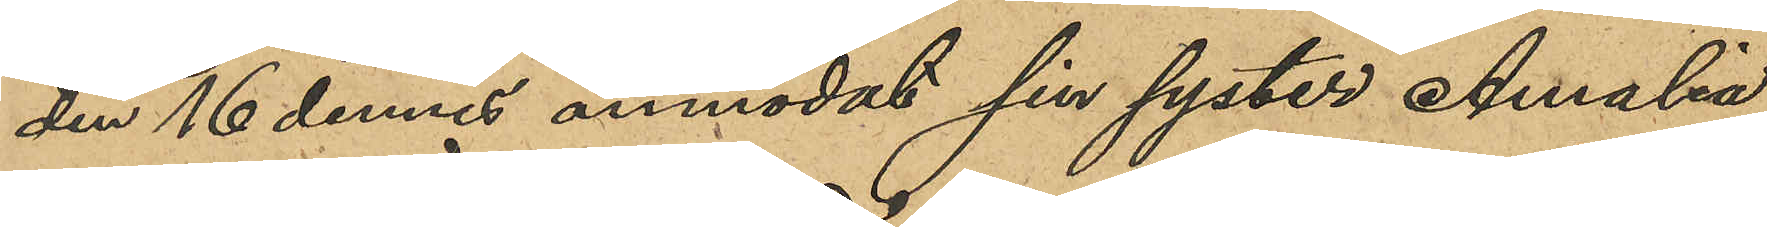den 16 dennes anmodat sin syster Amalia
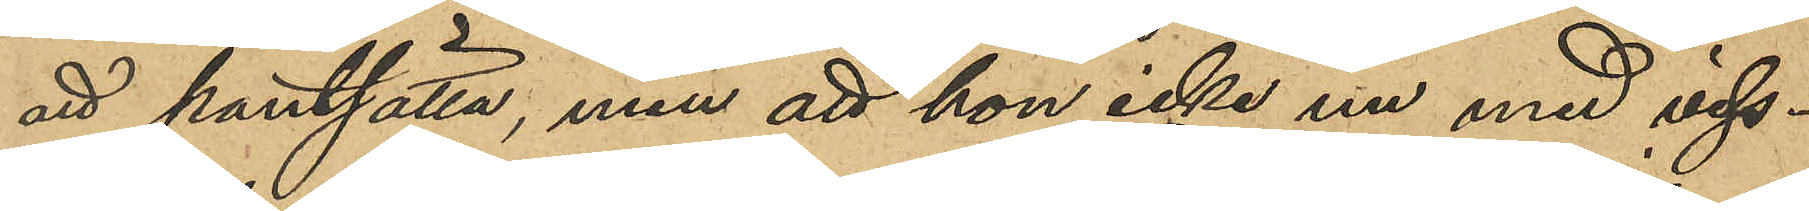att pantsätta, men att hon icke nu med viss¬
